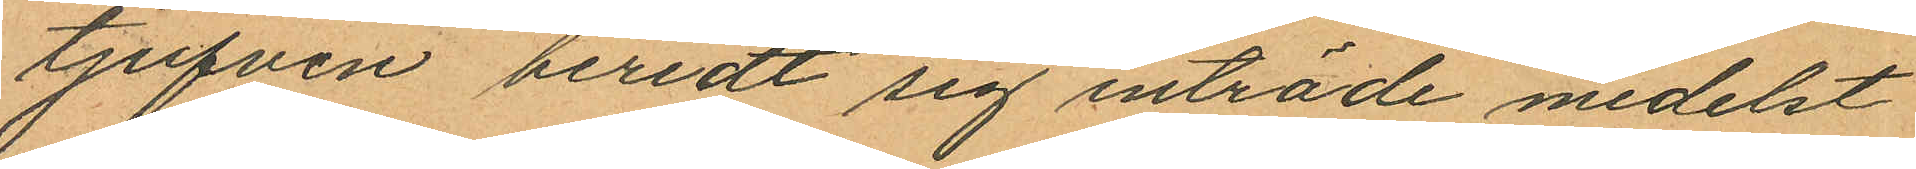tjufven beredt sig inträde medelst
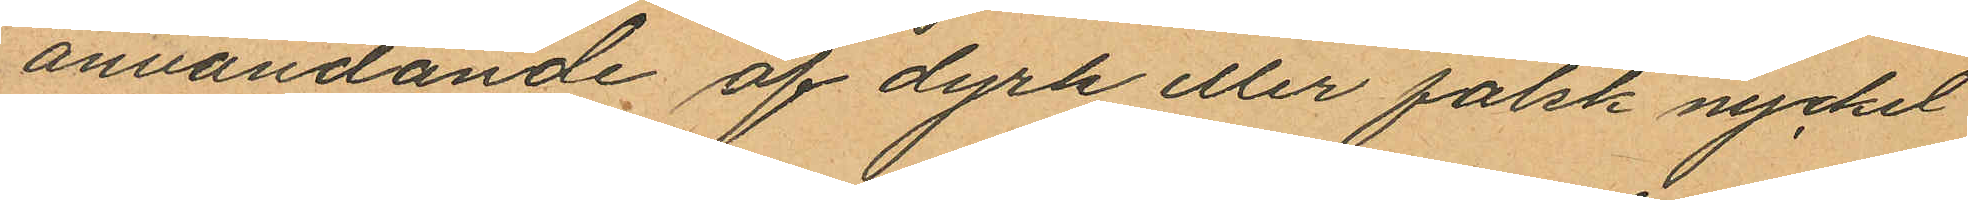användande af dyrk eller falsk nyckel
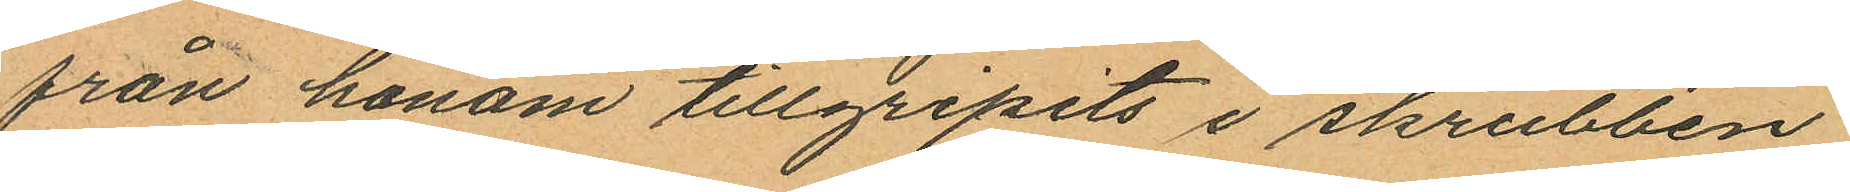från honom tillgripits i skrubben
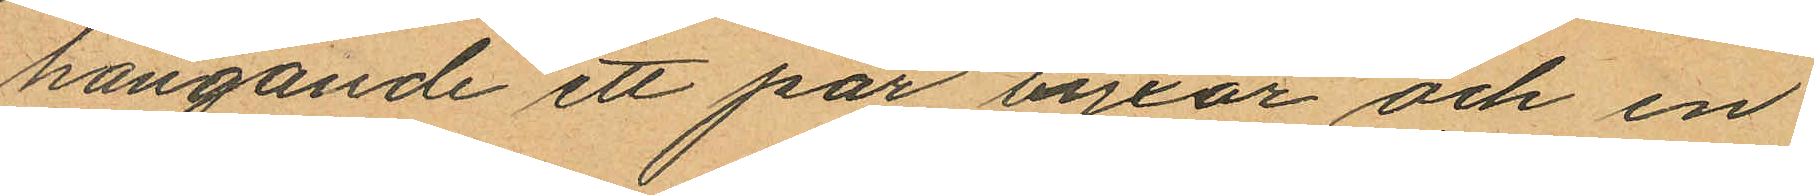hängande ett par byxor och en
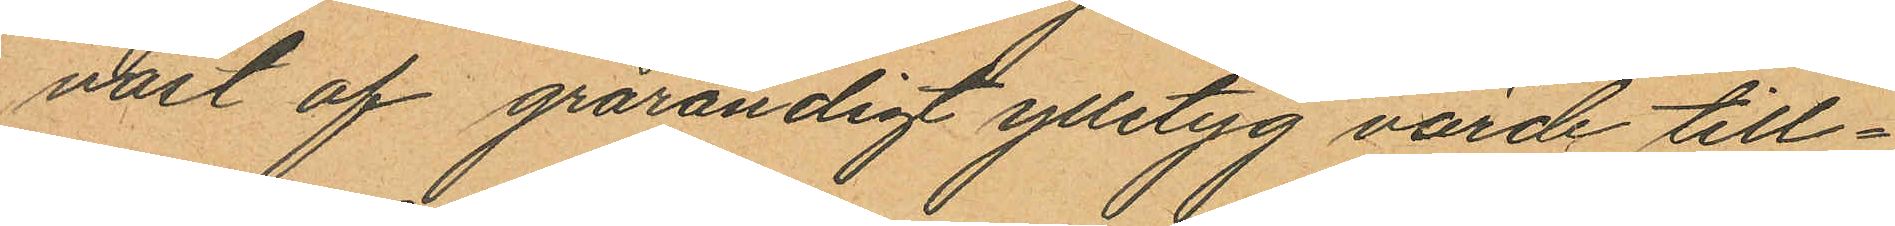väst af grårandigt ylletyg värde till¬
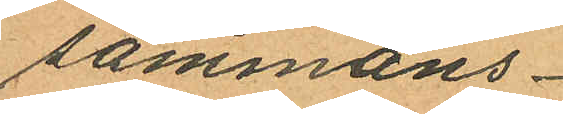sammans
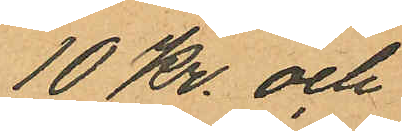10 Kr. och
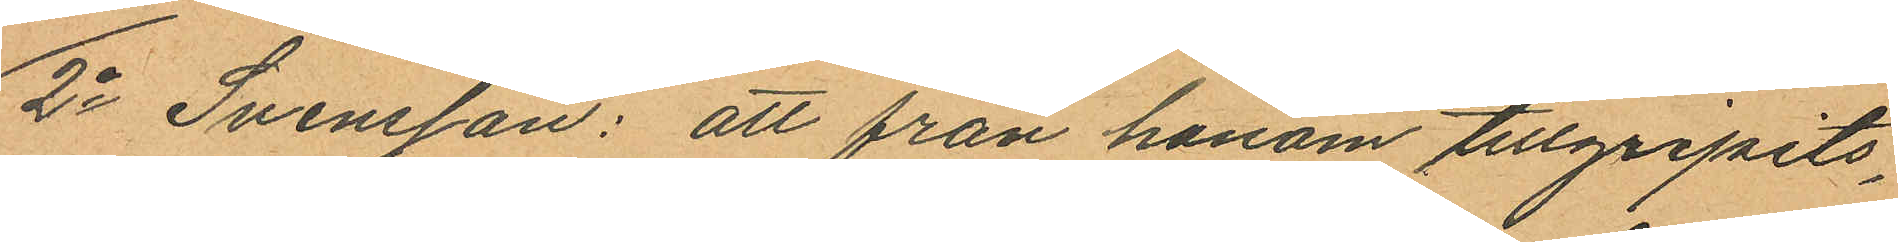2o Svensson: att från honom tillgripits,
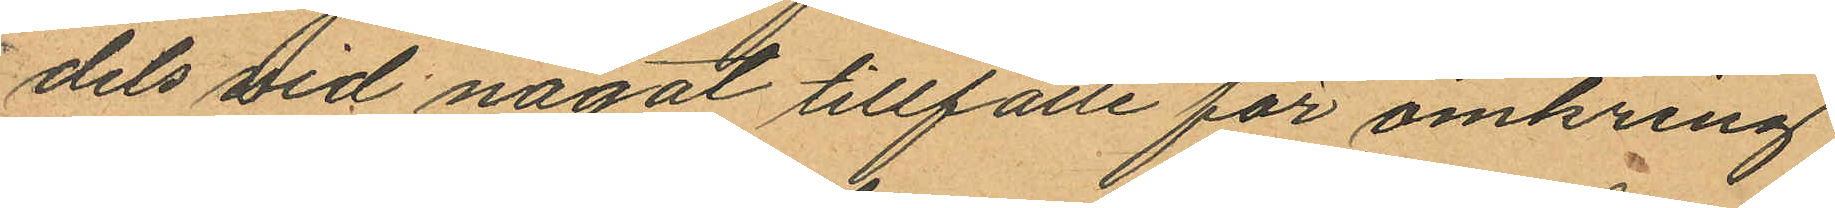dels vid något tillfälle för omkring
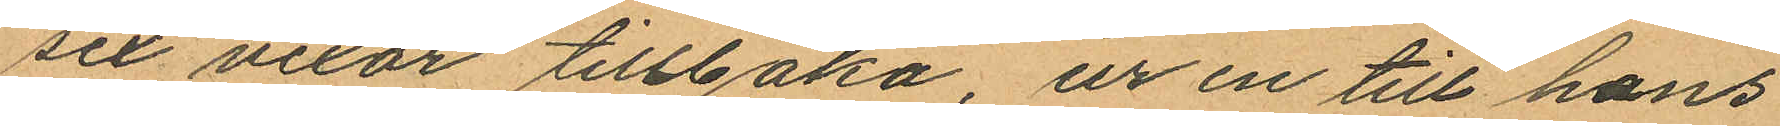sex vexor tillbaka, ur en till hans
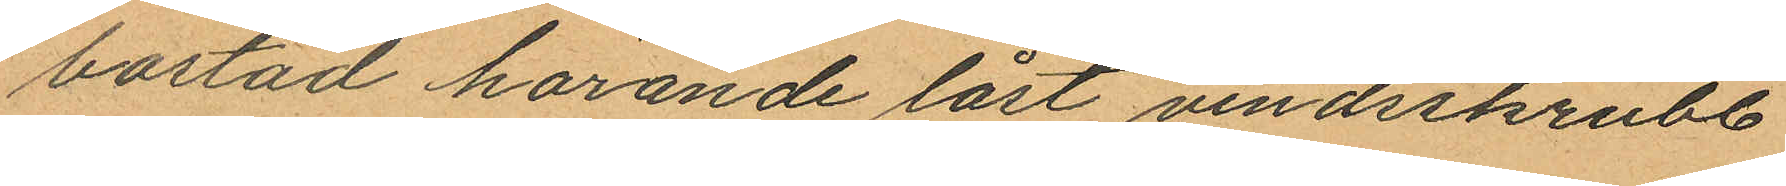bostad hörande låst vindsskrubb
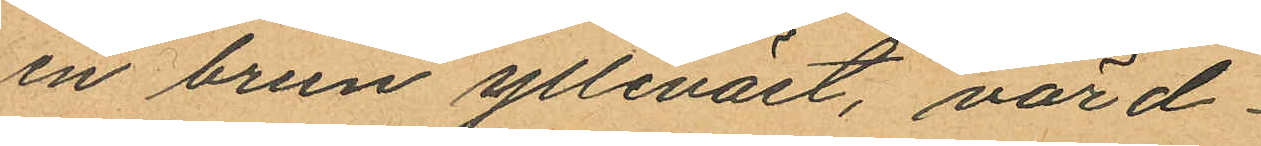en brun ylleväst, värd
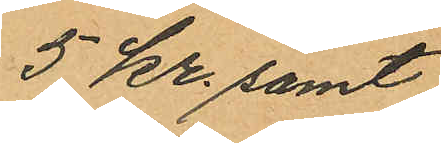5 kr. samt
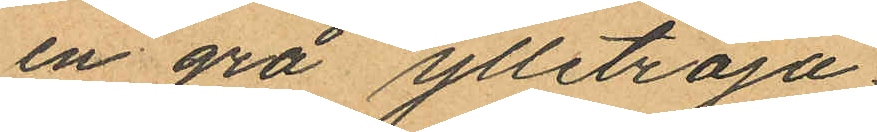en grå ylletröja
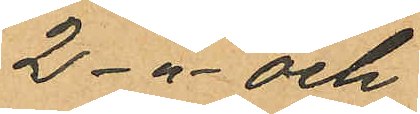2 -"- och
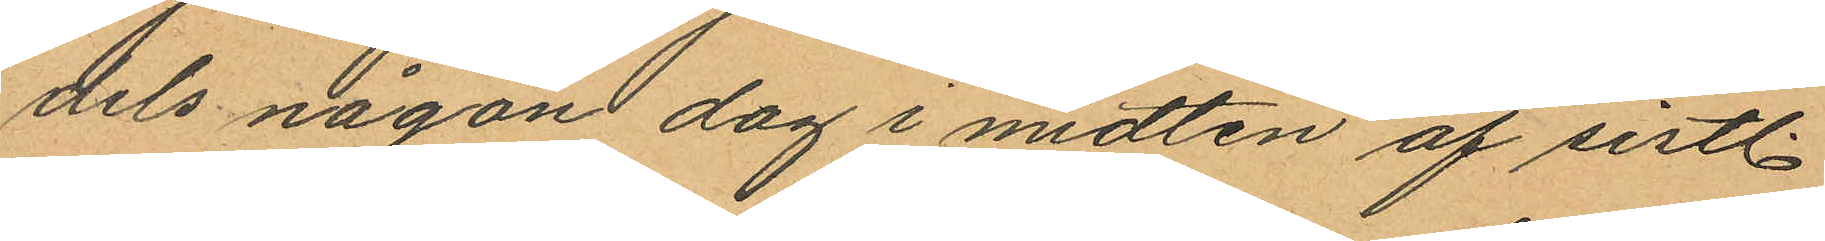dels någon dag i midten af sistl.
